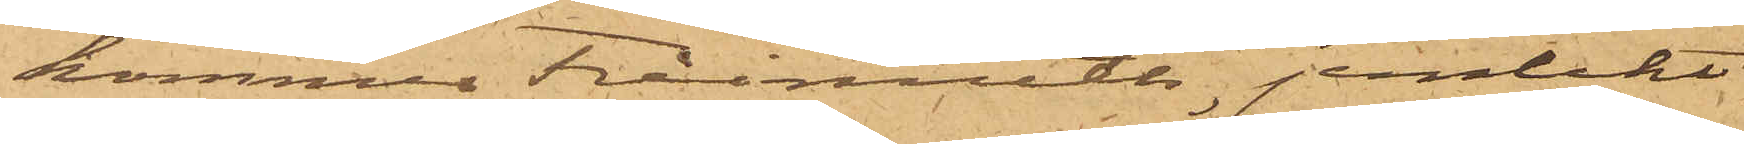kommer Freimoth, jemlikt
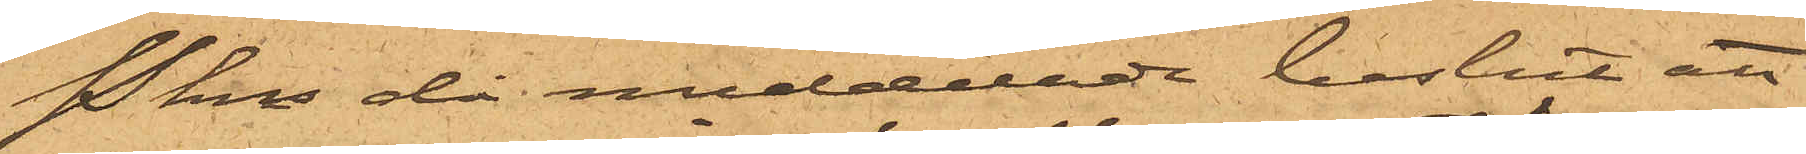Pkns då meddelade beslut att
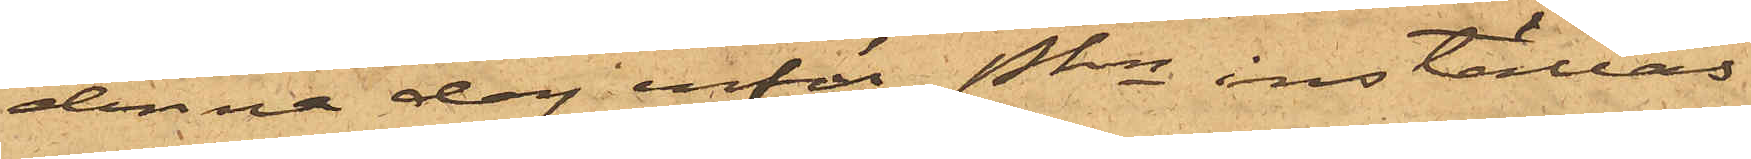denna dag inför Pkn inställas.
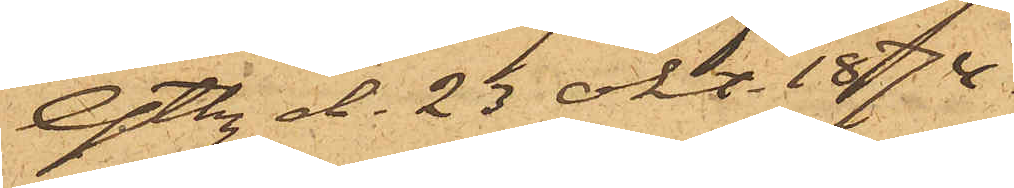Gtbg d. 23 Okt. 1874.
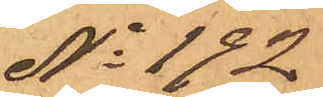No 192
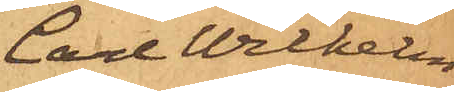Carl Wilhelm
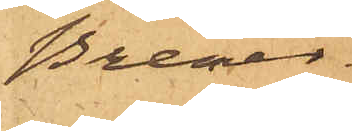Bremer
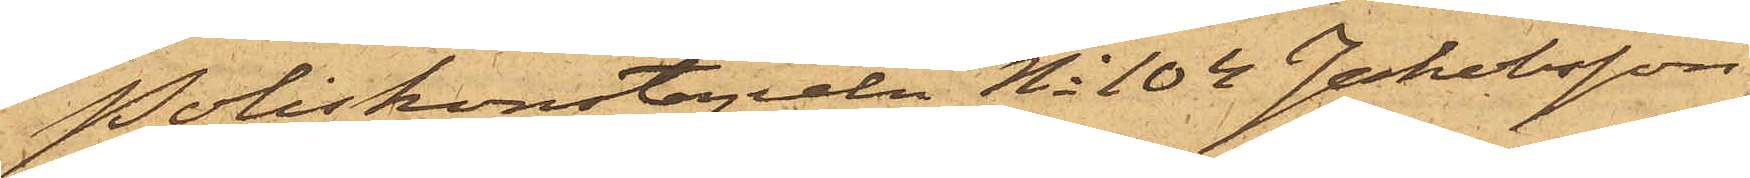Poliskonstapeln No 104 Jakobsson
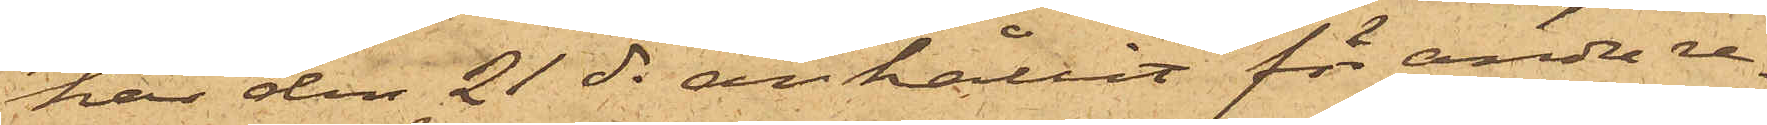har den 21 ds anhållit för andra re¬
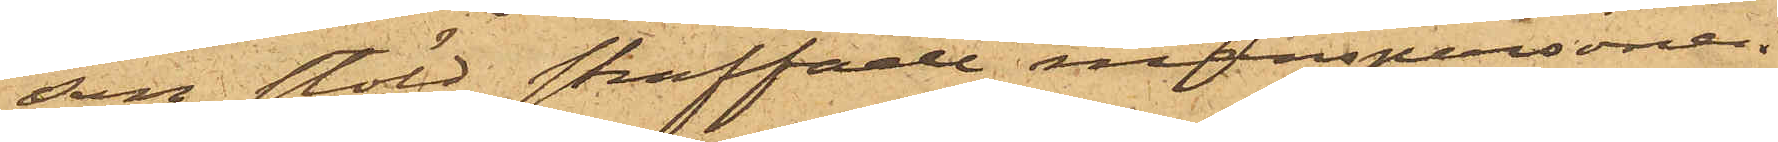san stöld straffade manspersonen
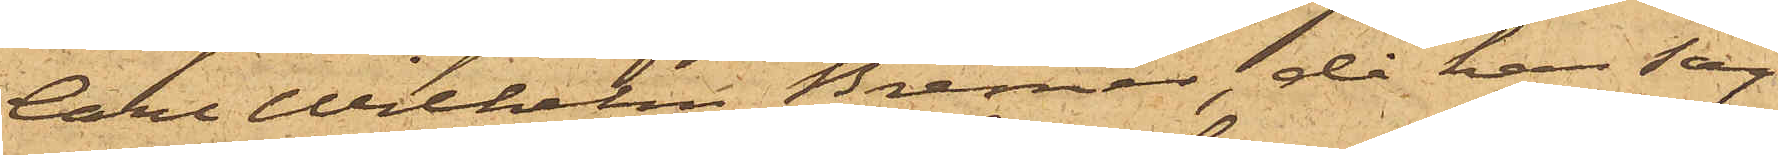Carl Wilhelm Bremer, då han sag¬
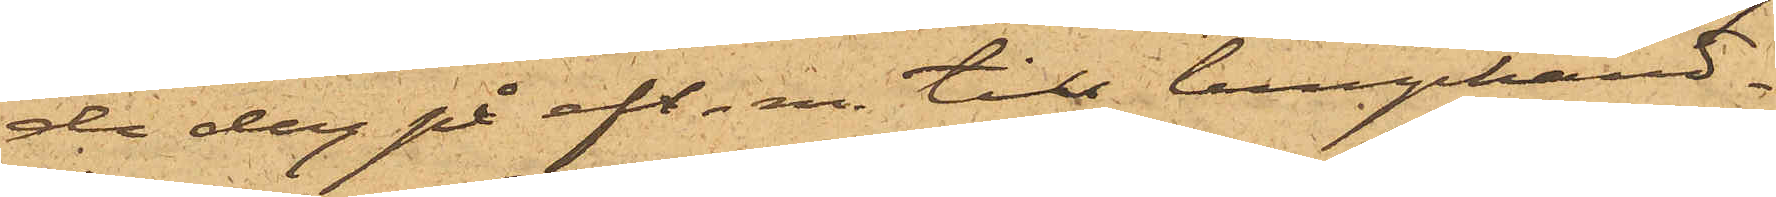de dag på eft.m. till lumphand¬
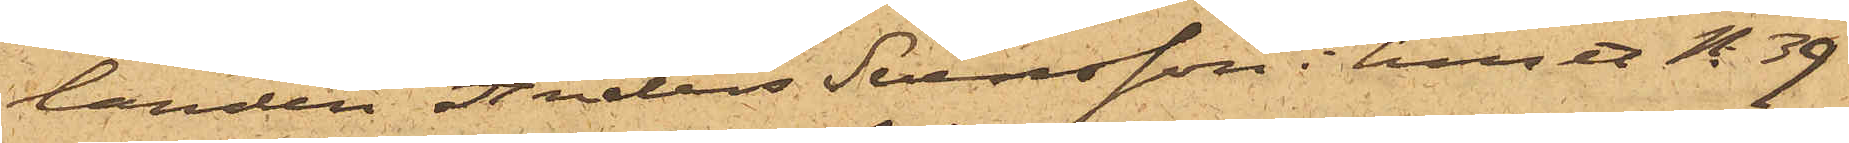landen Anders Svensson i huset No 39
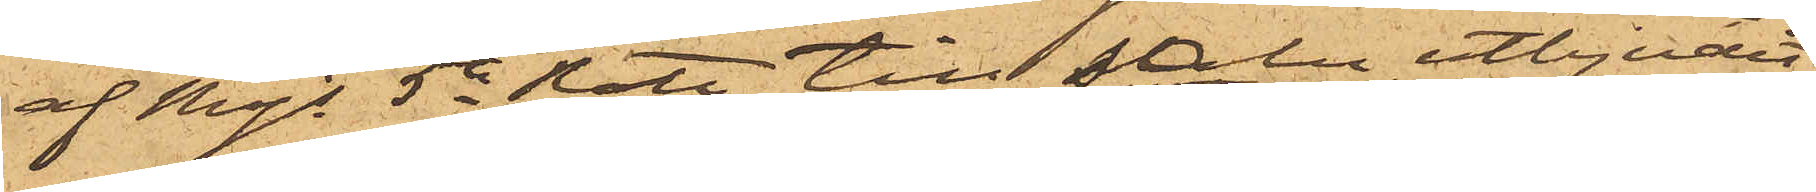af Majs 5te Rote till salu utbjudit
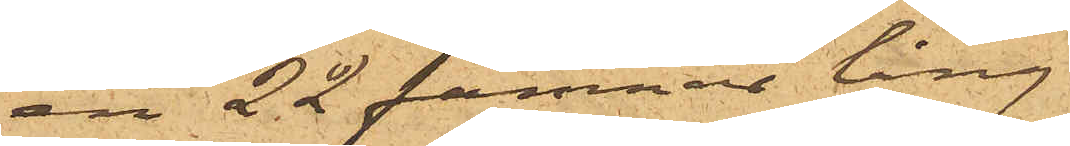en 22 famnar lång
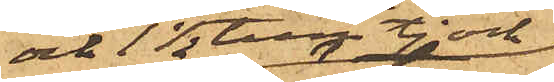och 1½ tum tjock och
